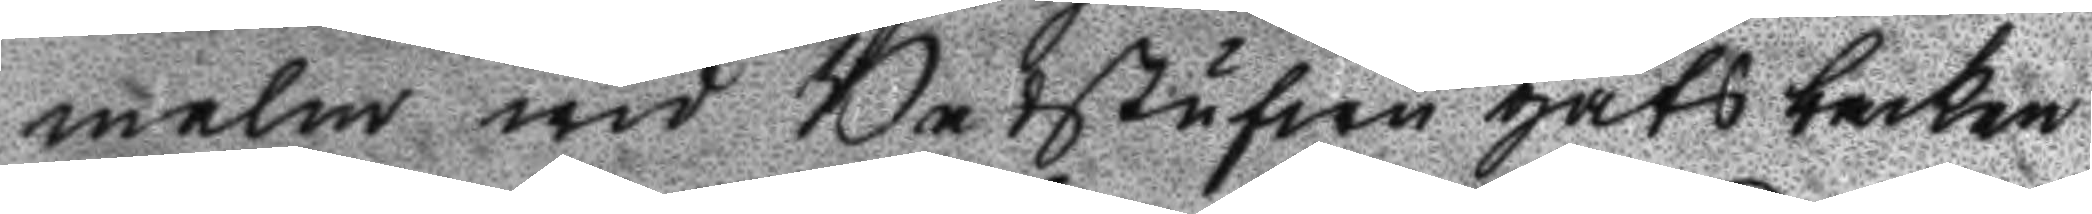malm wid Badstufwu gats backen
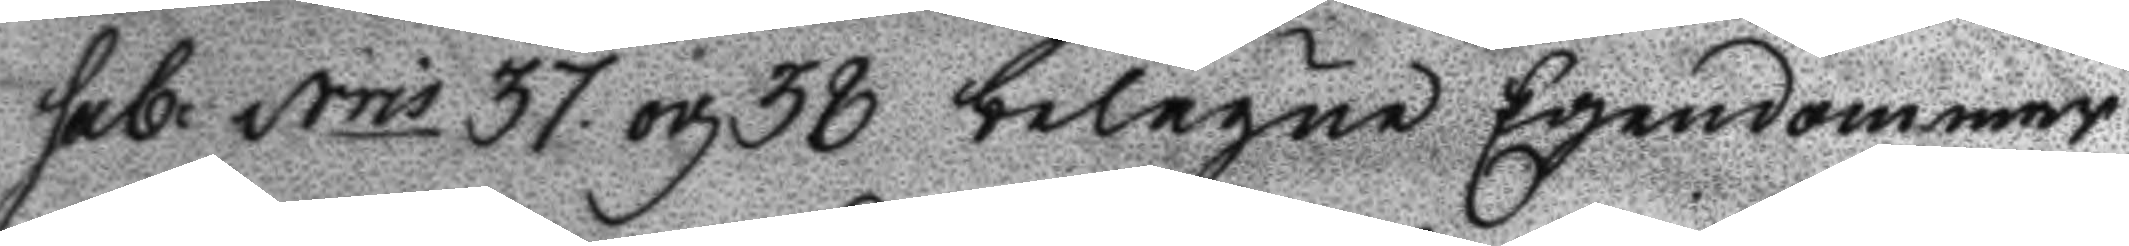sal: Nris 37. och 38 belägne Egendommar
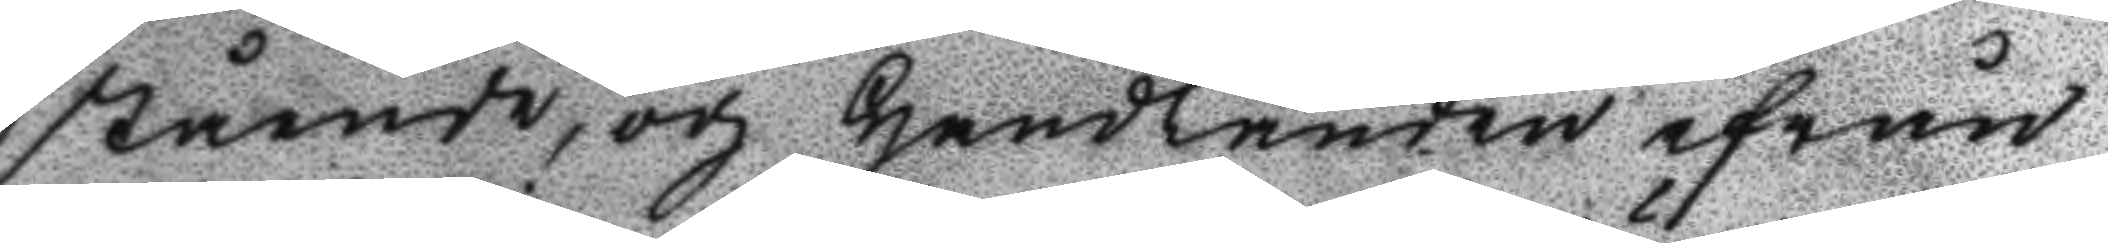stående, och Handlanden ifrån
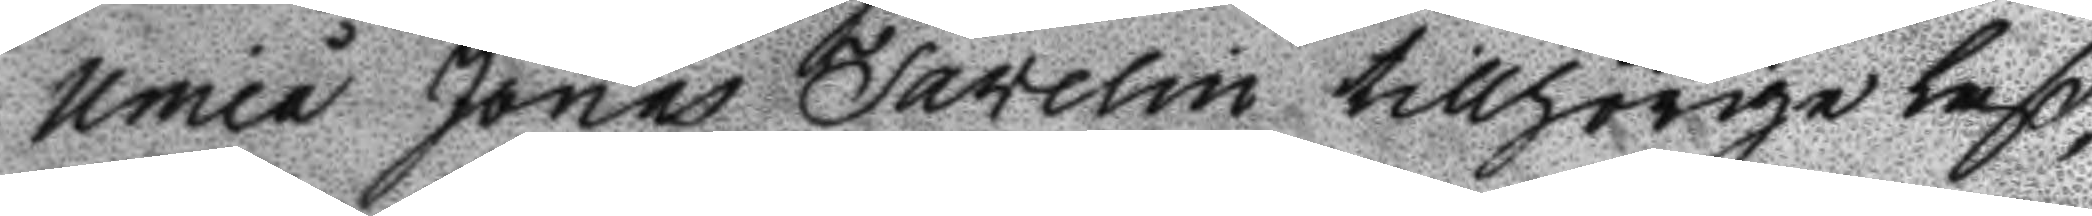Umeå Jonas Favelin tillhörige laß,
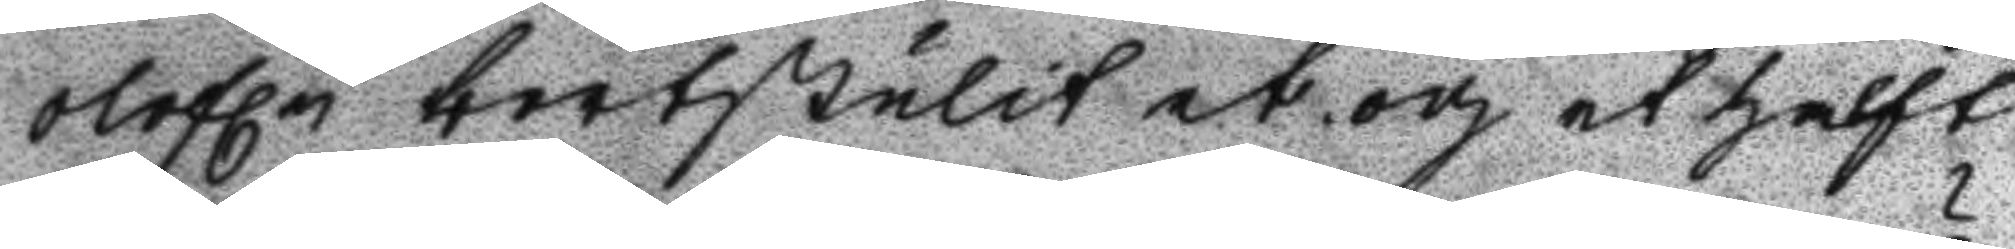olofln bortstulit et och et halft
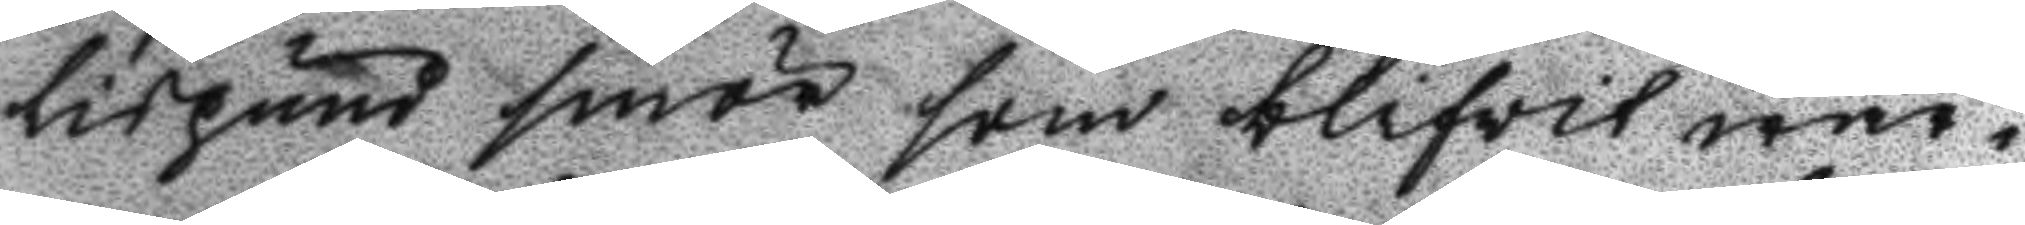lispund smör som blifvit wär¬
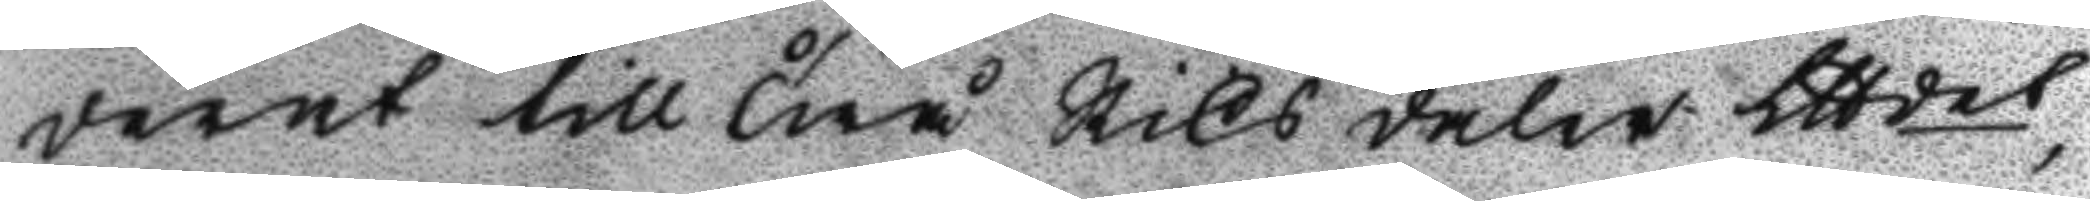derat till Twå Riks daler Lttdet,
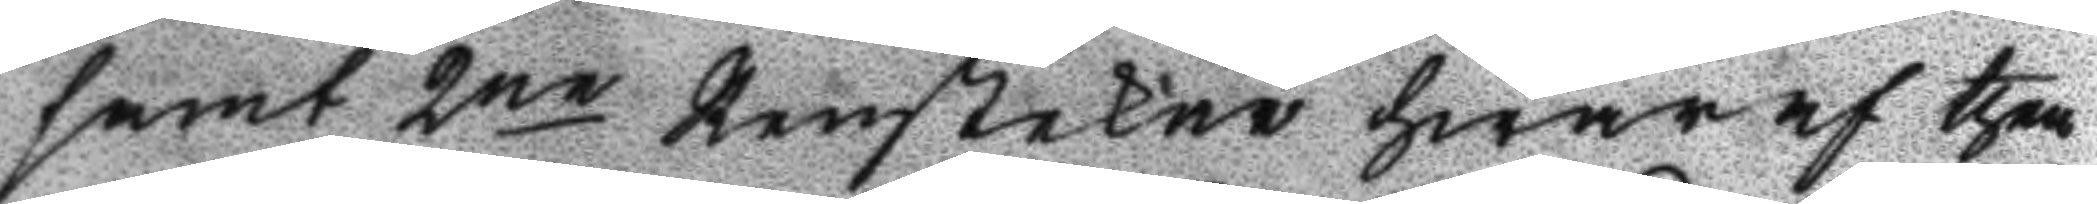samt 2ne Renstekar hwaraf then
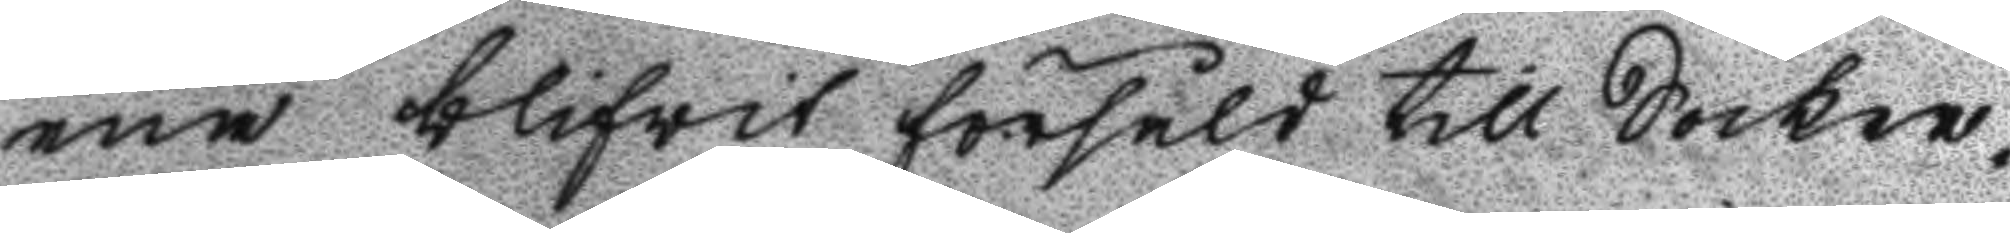ena blifwit försålt till Socker¬
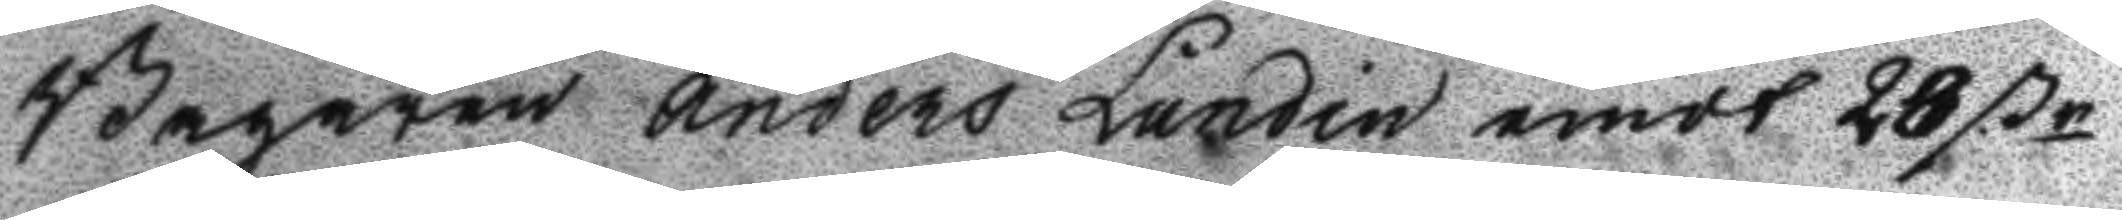Bagaren Anders Lundin emot 28 ßr
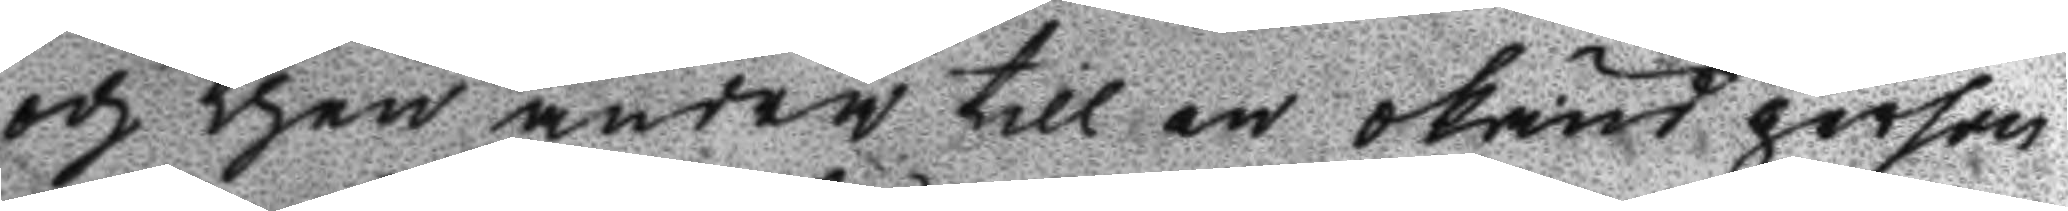och then andra till en okänd person
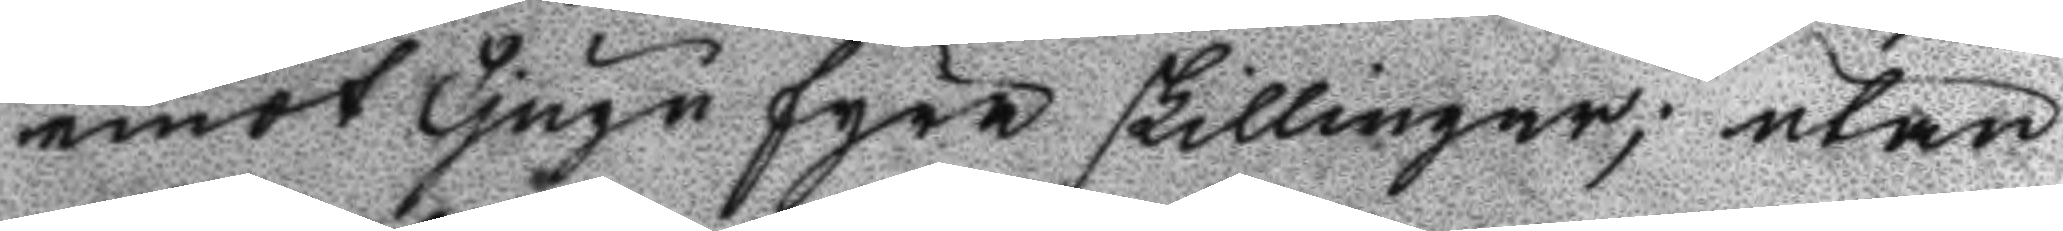emot Tjugo fyra Skillingar; utan
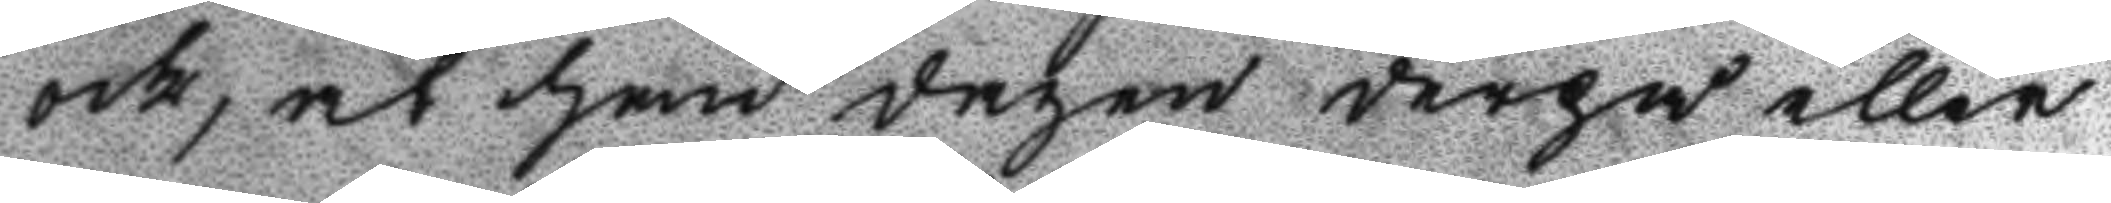och, at han dagen derpå eller
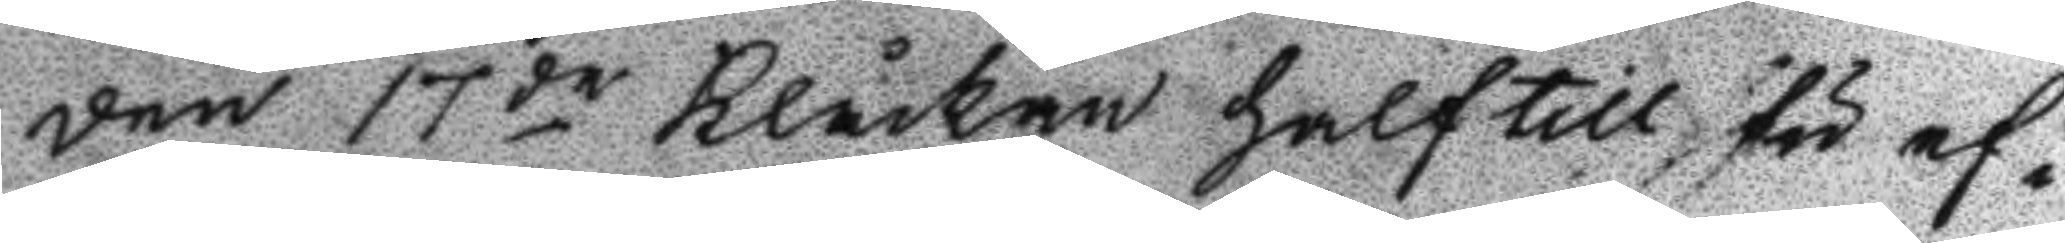den 17de Klåckan half till för ef¬
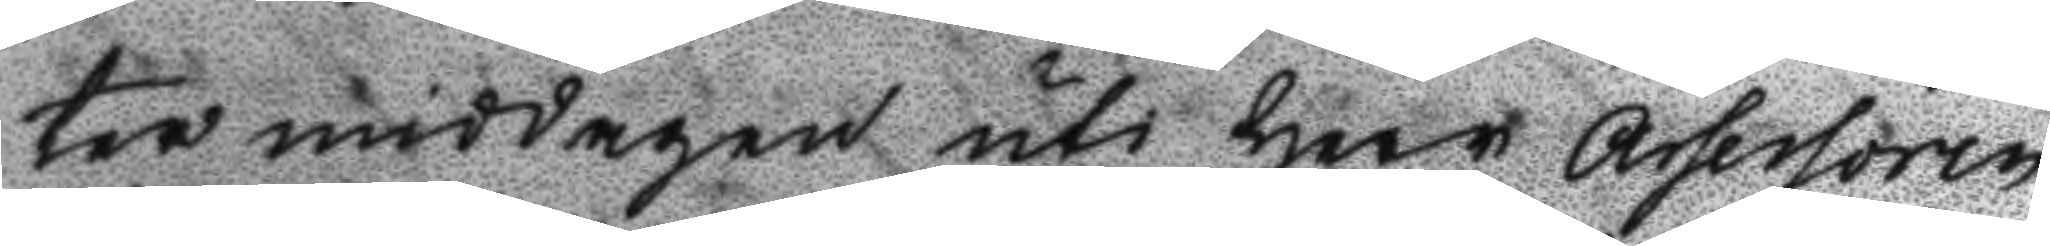ter middagen uti Herr Assessoren
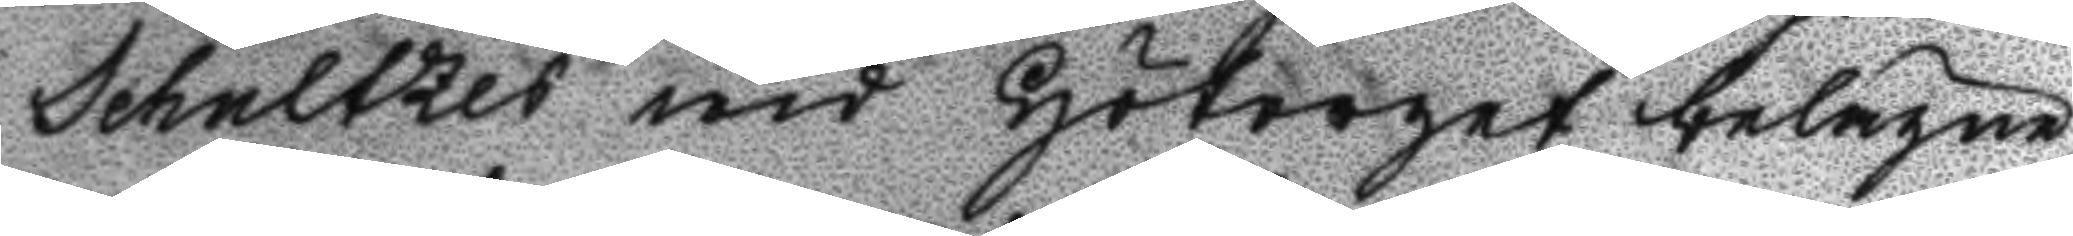Schultzes wid Hötorget belägne
